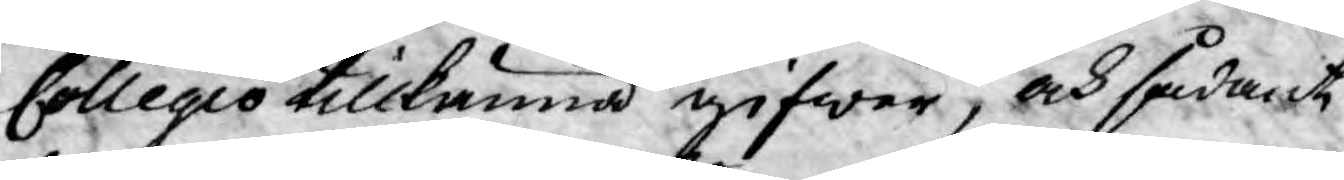Collegio tillkänna gifwer, och sådant
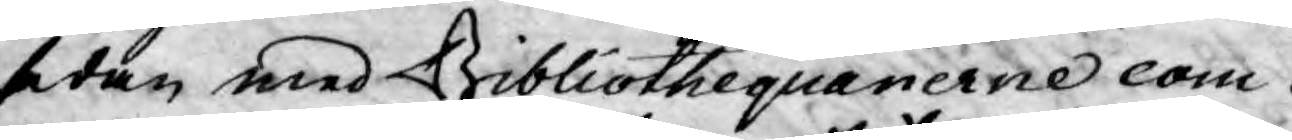sedan med Bibliothequarierne com¬
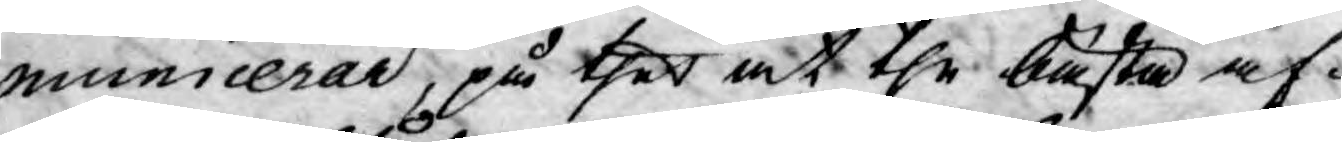municerar, på thet at the bästa af¬
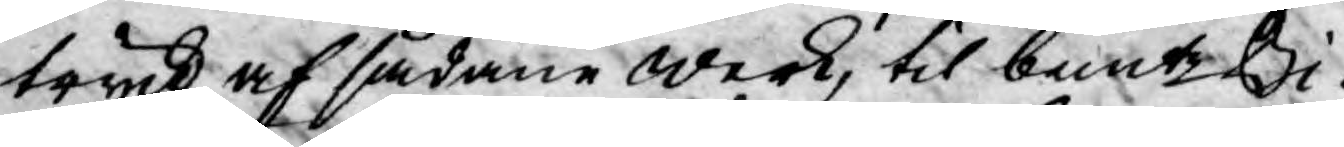tryck af sådane werk, til bemte Bi¬
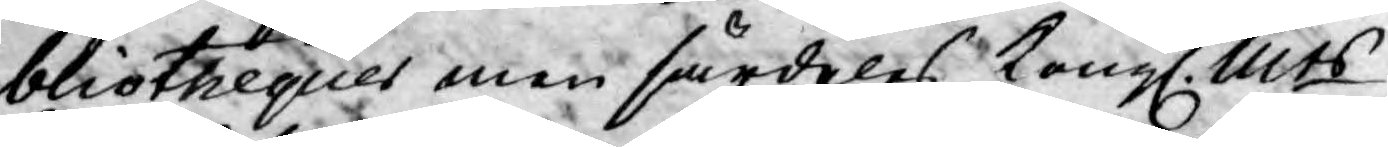bliothequer men särdeles Kongl. Mts
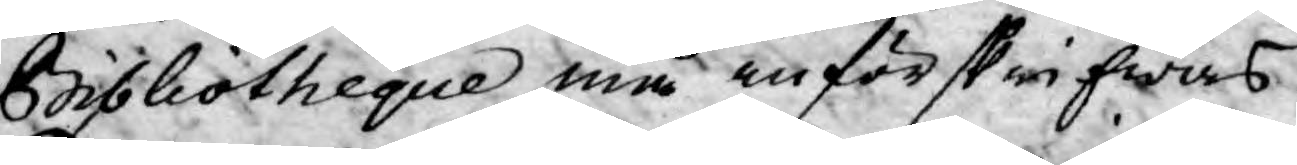Bibliotheque må införskrifwas:
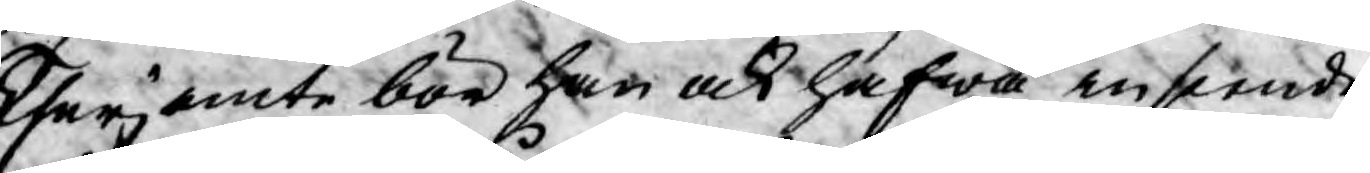therjemte bör han ock hafwa inseende
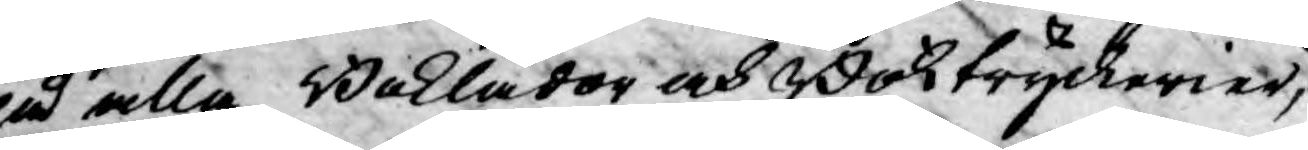på alla Boklådor och Boktryckerier,
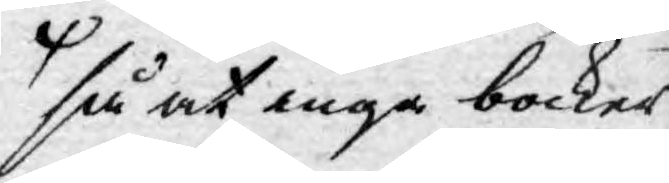så at inga böcker
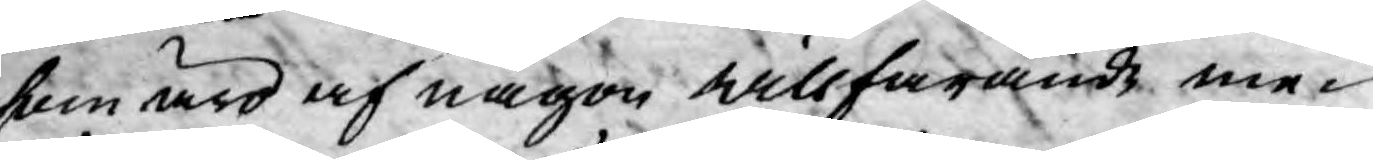som äro af någon willfarande me¬
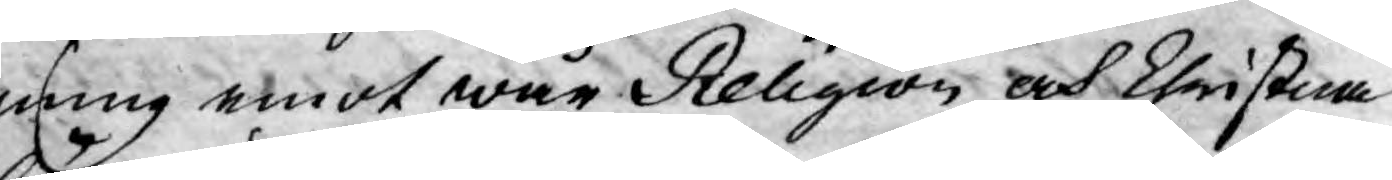ning emot wår Religion och Christna
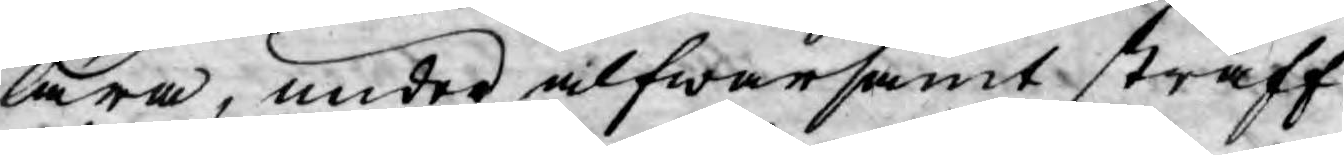lära, under alfwarsamt straff
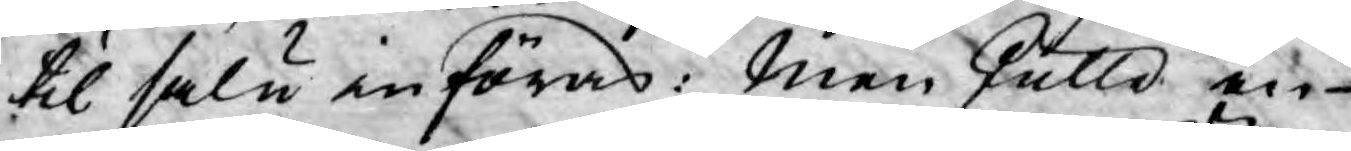til salu införas. Men skulle en
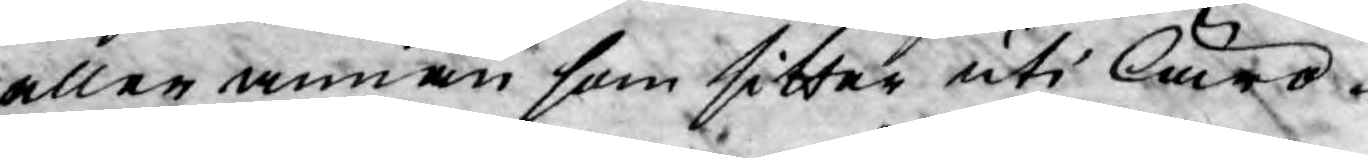eller annan som sitter uti läro¬
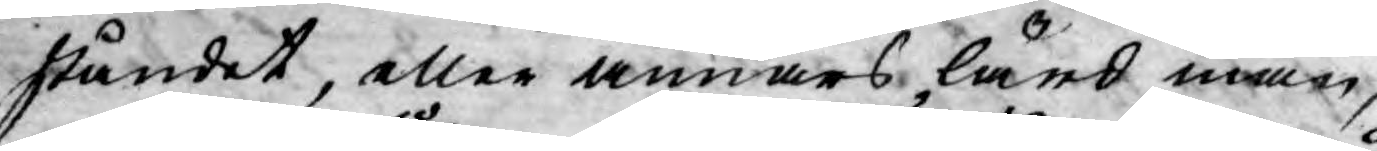ståndet, eller annars lärd man,
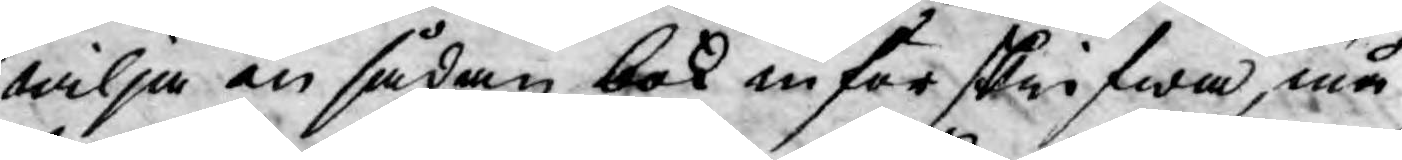wilja än sådan bok införskrifwa, må
